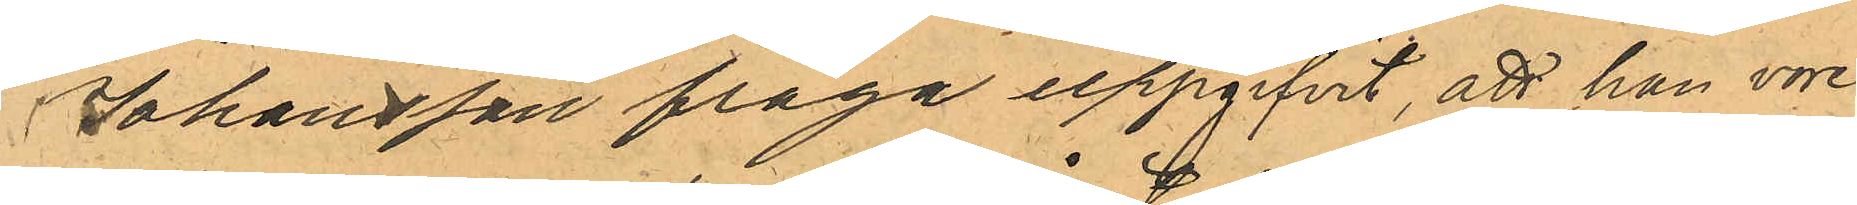Johansson fråga uppgifvit, att han vore
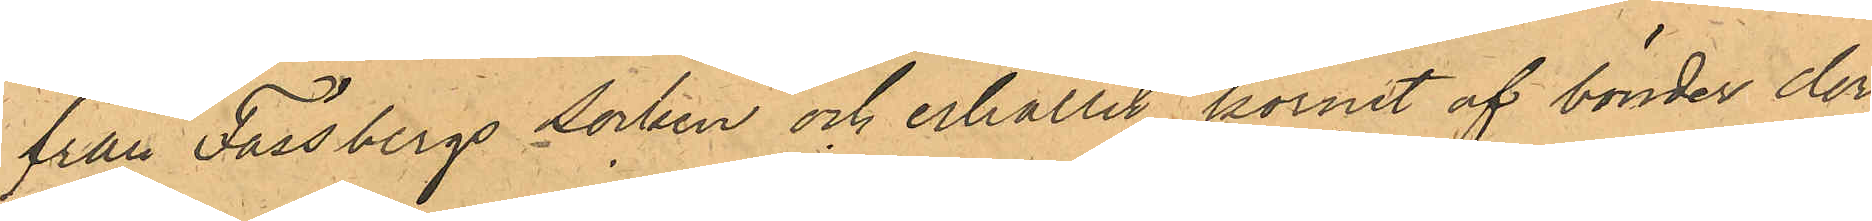från Fässbergs socken och erhållit kornet af bönder der¬
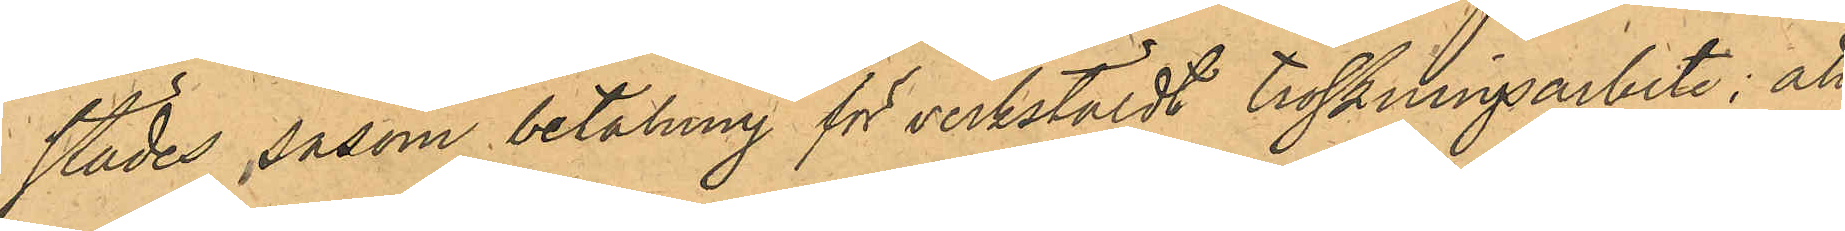städes såsom betalning för verkstäldt tröskningsarbete; att
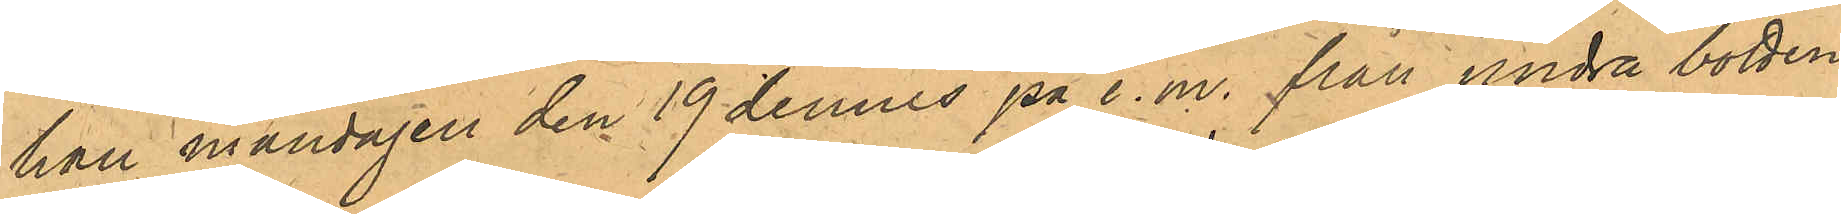han måndagen den 19 dennes på e. m. från andra botten
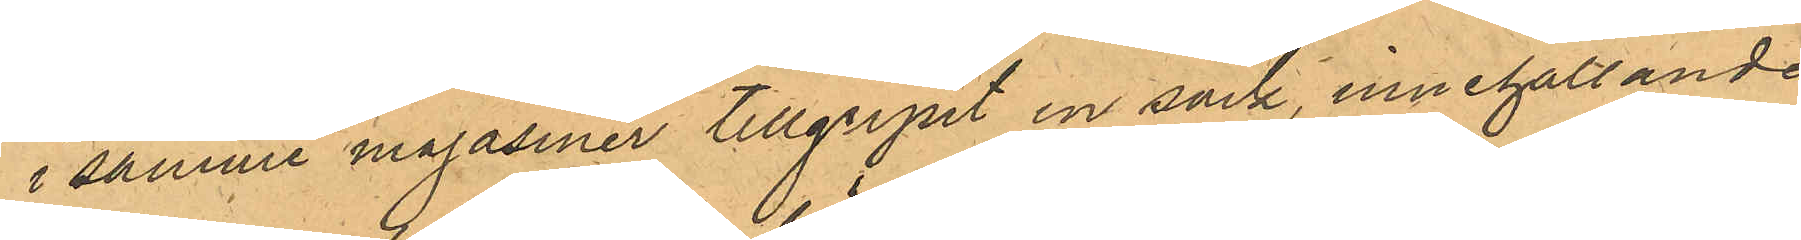i samme magasiner tillgripit en säck, innehållande
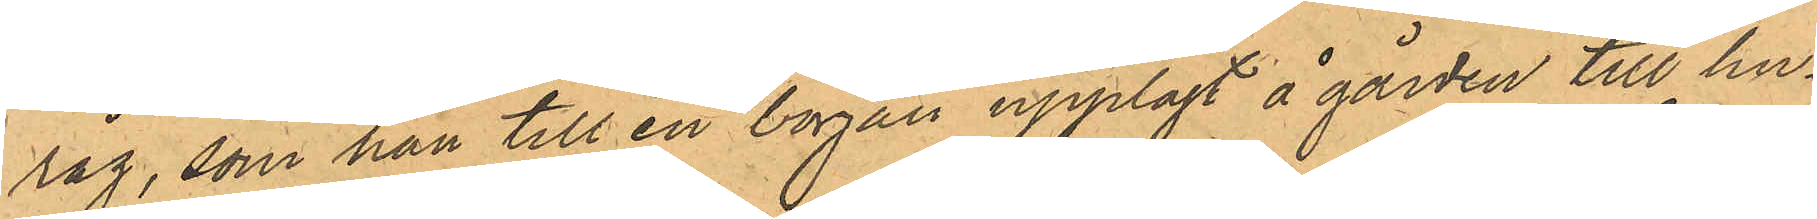råg, som han till en början upplagt å gården till hu¬
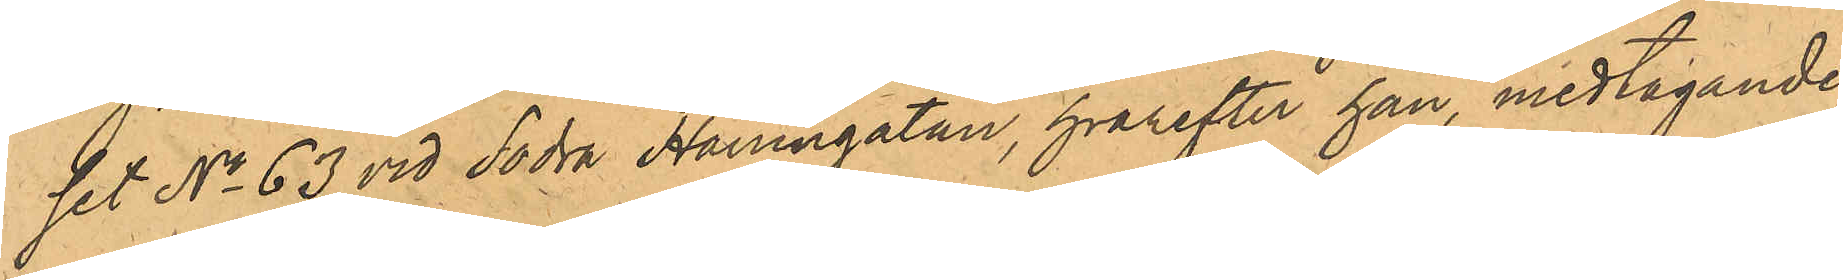set No 63 vid Södra Hamngatan, hvarefter han, medtagande
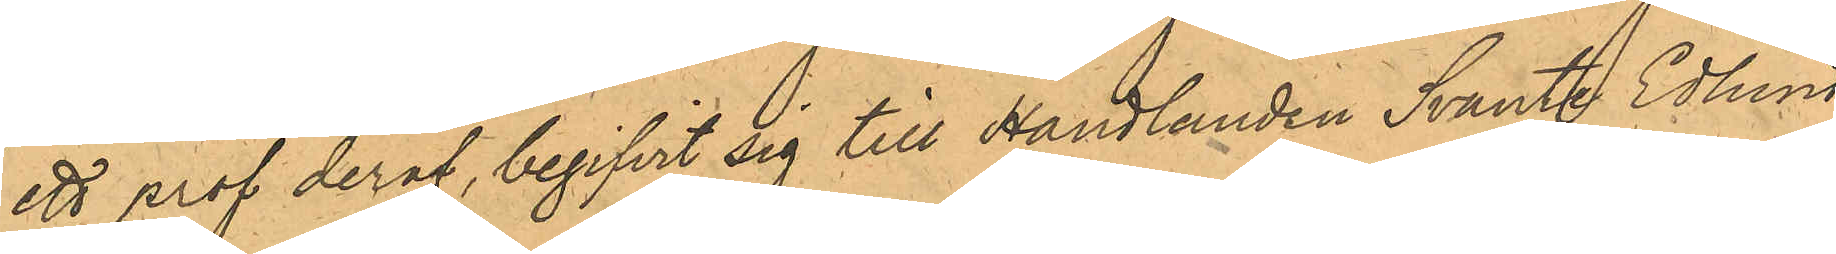ett prof deraf, begifvit sig till Handlanden Svante Edlund
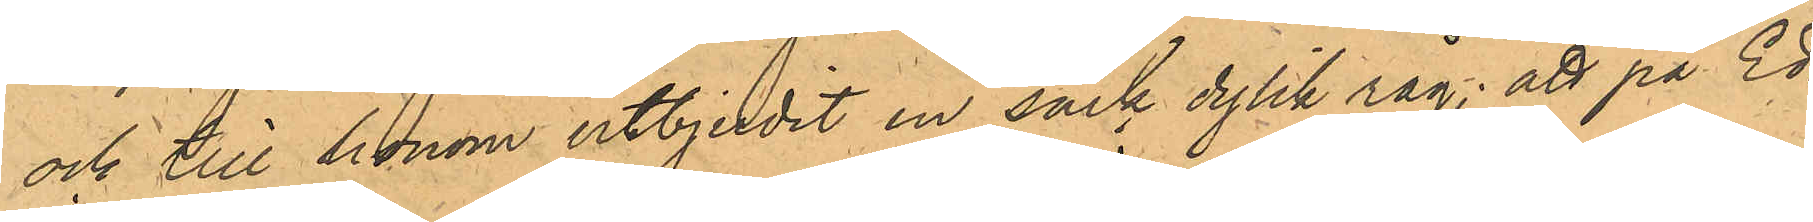och till honom utbjudit en säck dylik råg; att på Ed¬
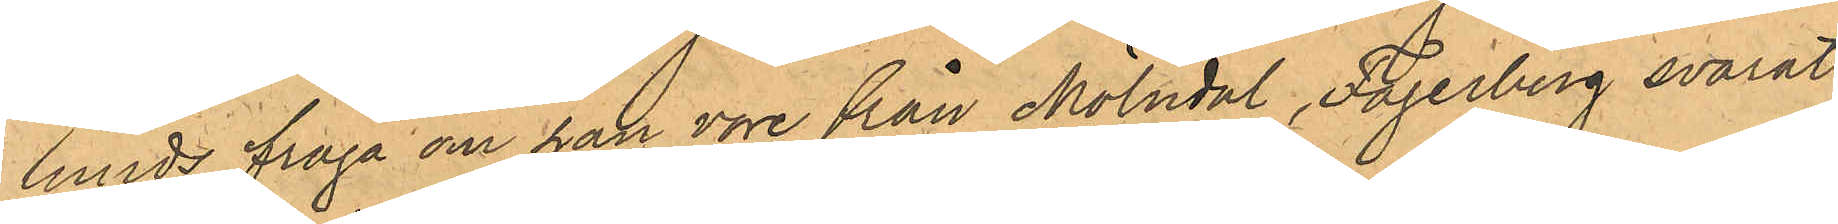lunds fråga om han vore från Mölndal, Fagerberg svarat
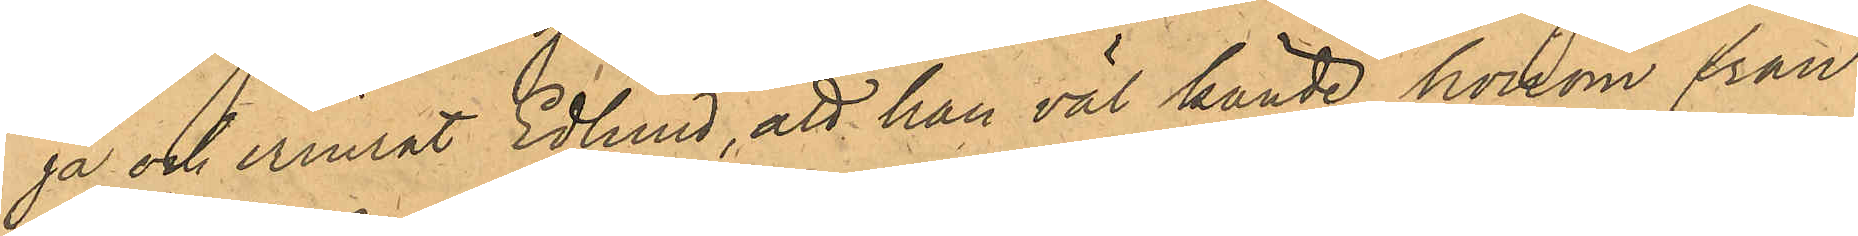ja och erinrat Edlund, att han väl kände honom från
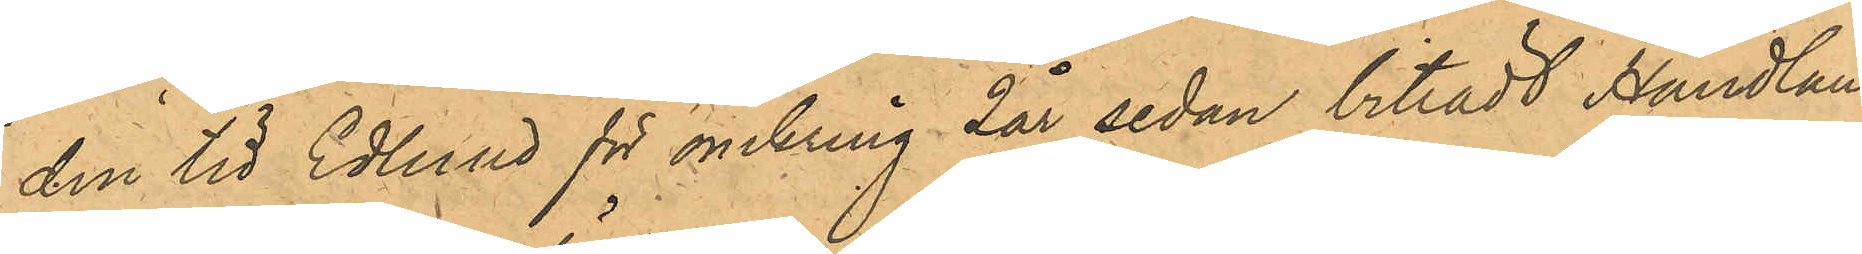den tid Edlund för omkring 2 år sedan biträdt Handlan¬
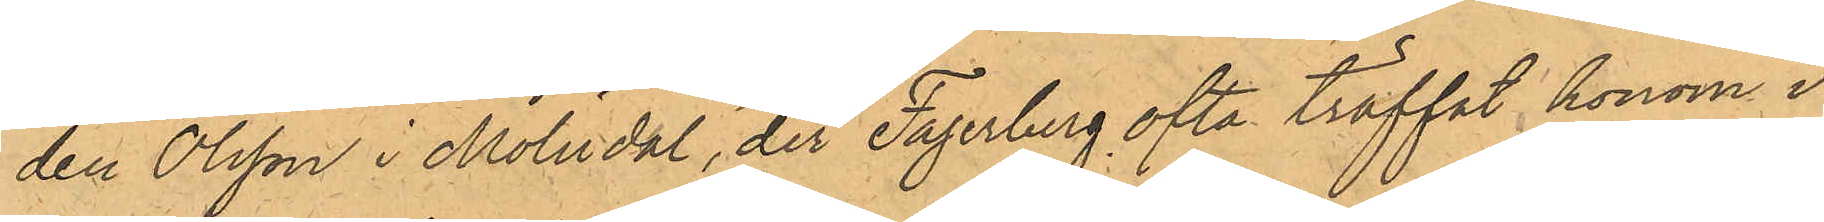den Olsson i Mölndal, der Fagerberg ofta träffat honom i
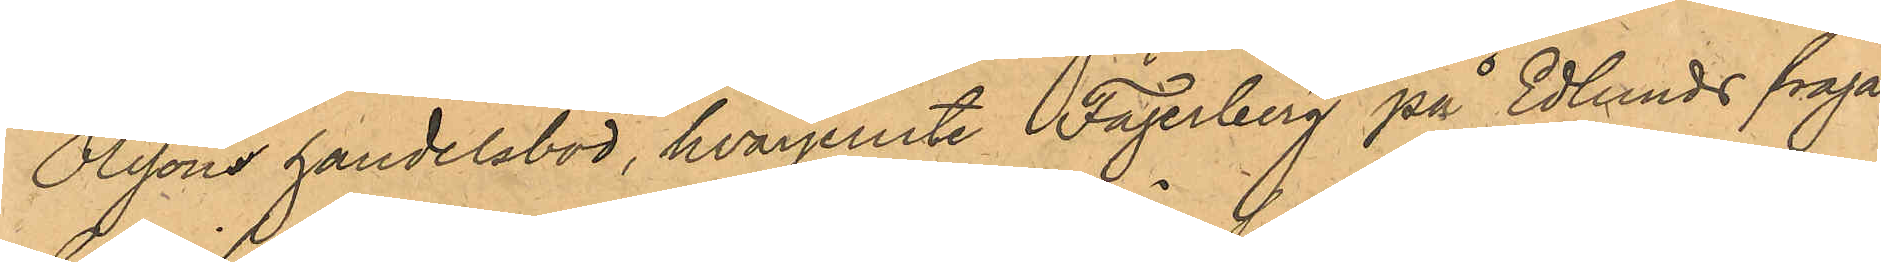Olssons handelsbod, hvarjemte Fagerberg på Edlunds fråga
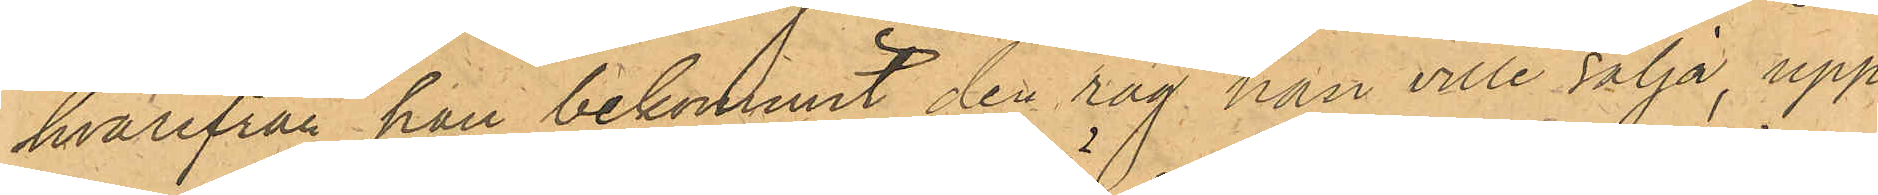hvarifrån han bekommit den råg han ville sälja, upp¬
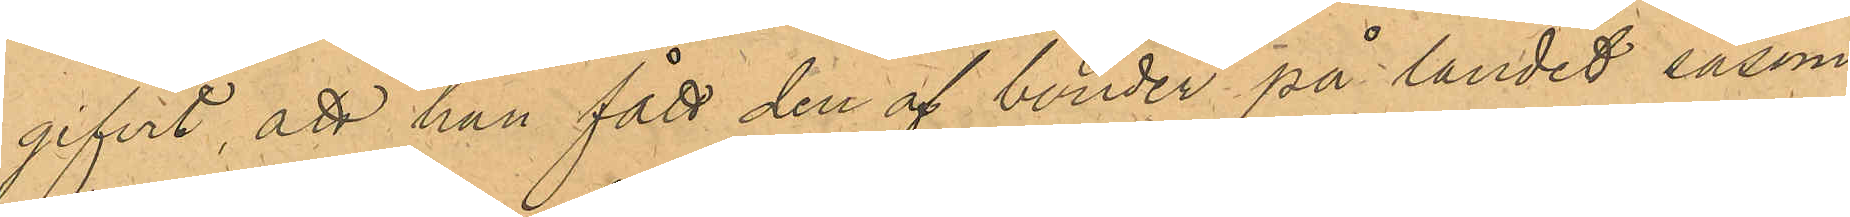gifvit, att han fått den af bönder på landet såsom
